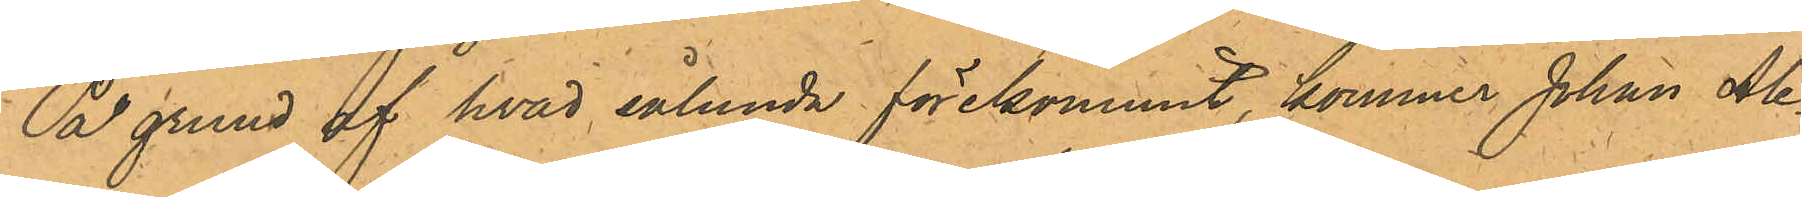På grund af hvad sålunda förekommit, kommer Johan Ale¬
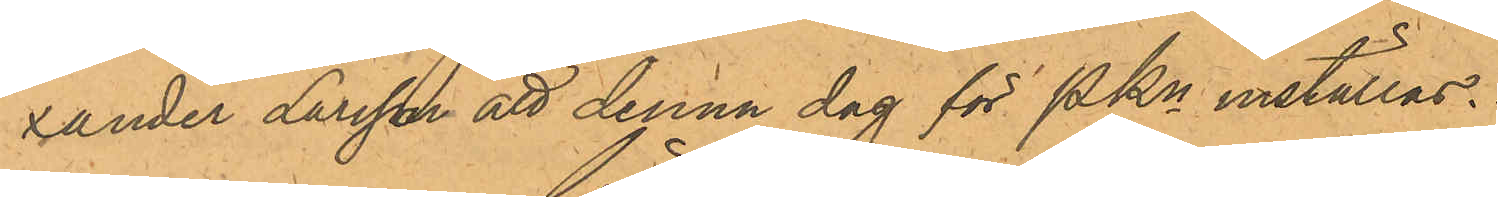xander Larsson att denna dag för PKn inställas.
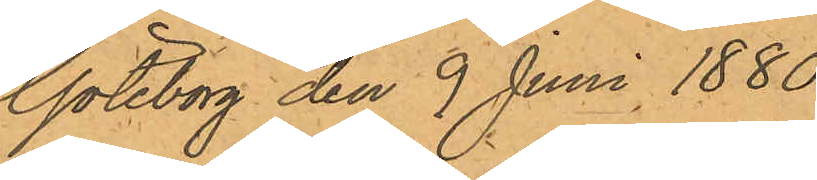Göteborg den 9 Juni 1880.
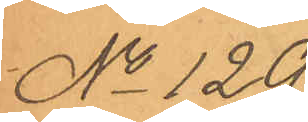No 129.
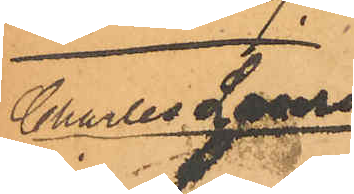Charles Lauren¬
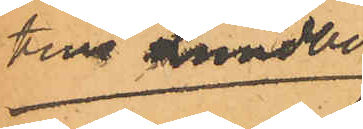tius Lundberg
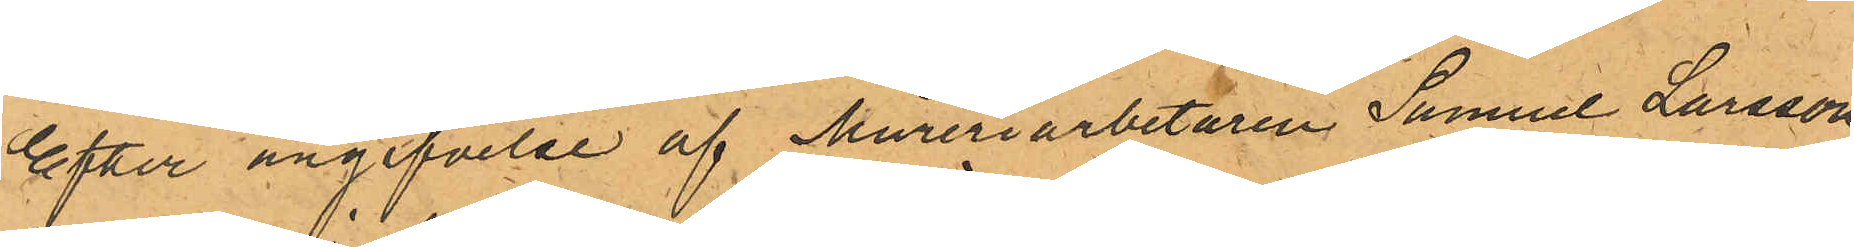Efter angifvelse af Mureriarbetaren Samuel Larsson,
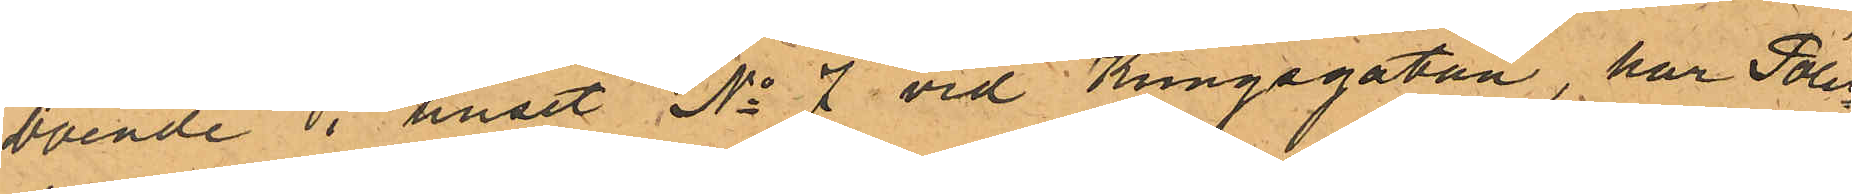boende i huset No 7 vid Kungsgatan, har Polis¬
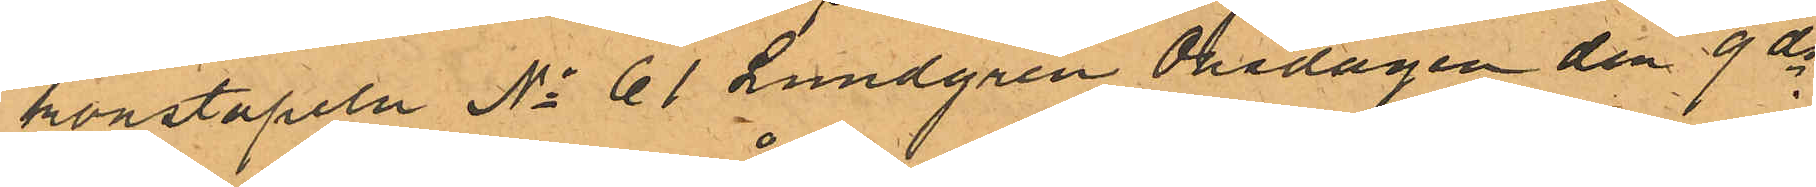konstapeln No 61 Lundgren Onsdagen den 9 ds
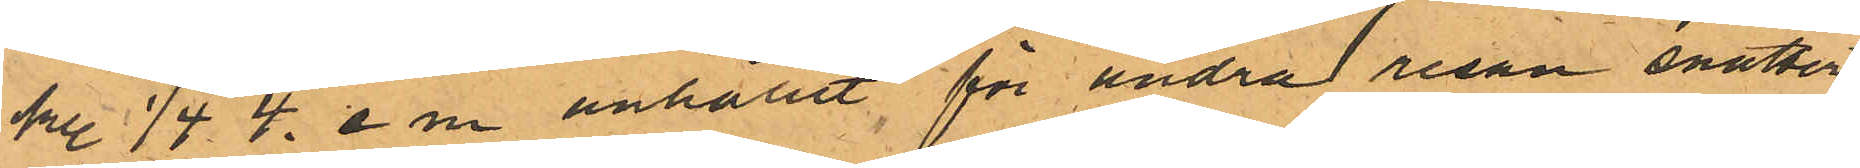kl. 1/4  4. e m anhållit för andra resan snatteri
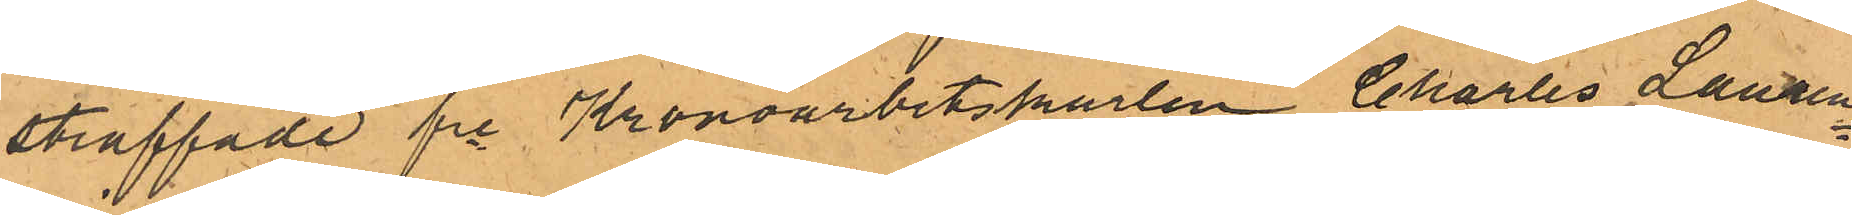straffade fre Kronoarbetskarlen Charles Lauren¬
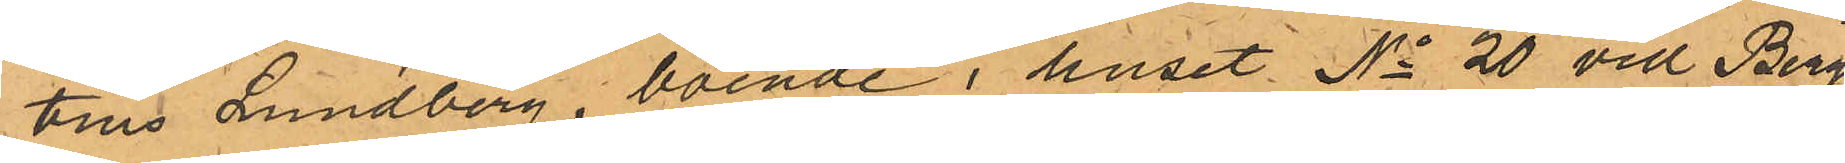tius Lundberg, boende i huset No 20 vid Bergs¬
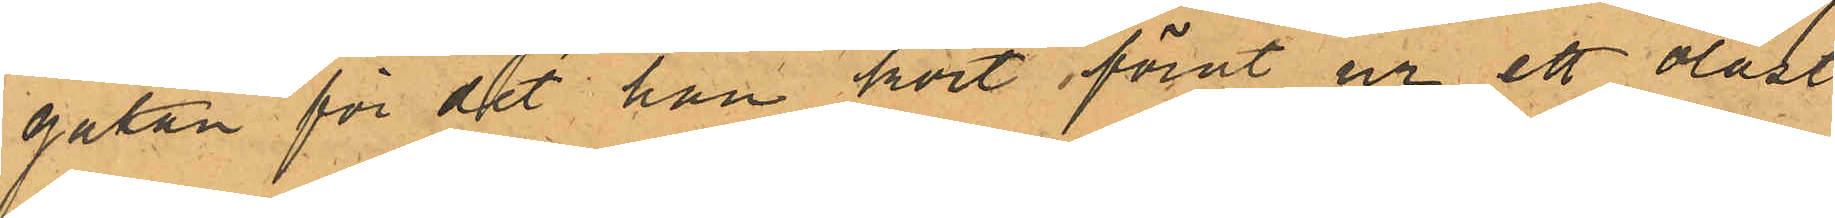gatan för det han kort förut ur ett olåst
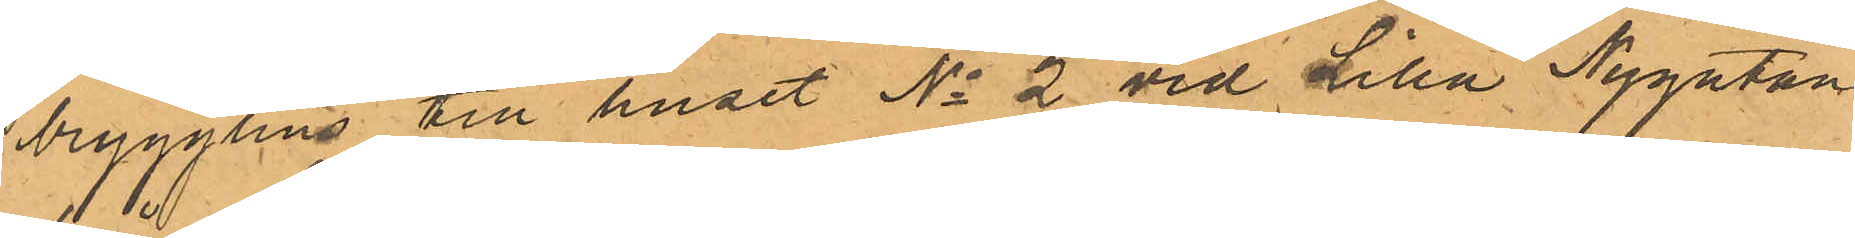brygghus till huset No 2 vid Lilla Nygatan
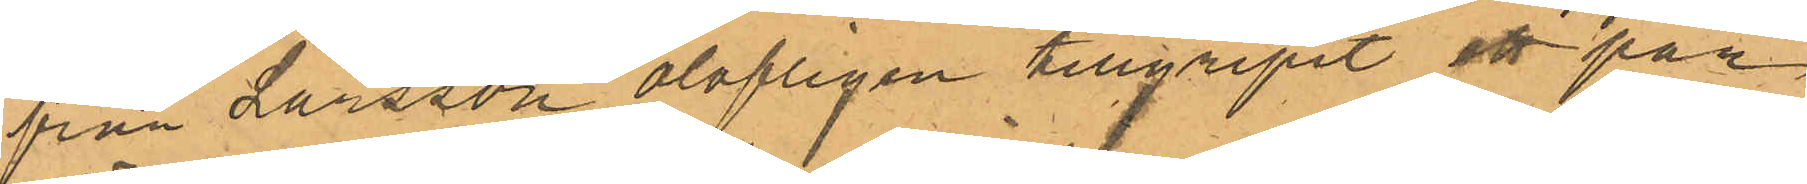från Larsson olofligen tillgripit ett par
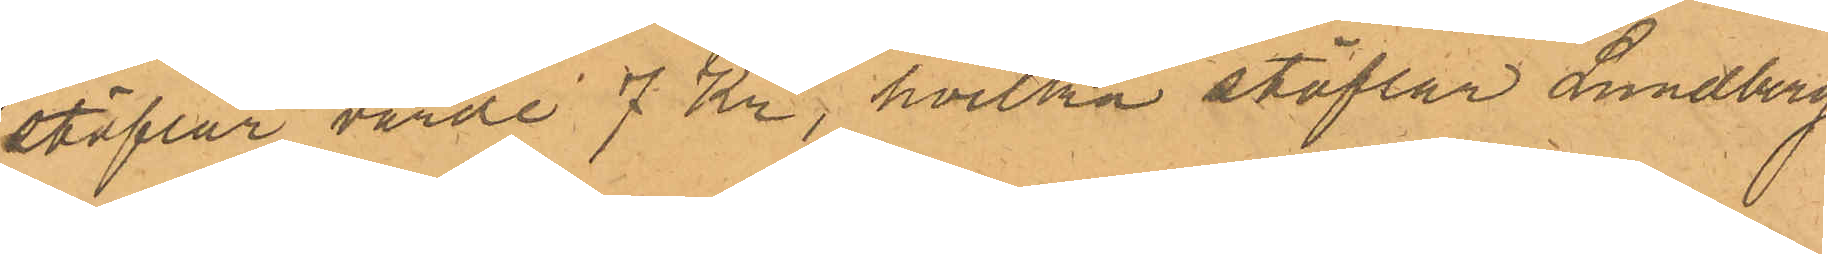stöflar värde 7 Kr, hvilka stöflar Lundberg
